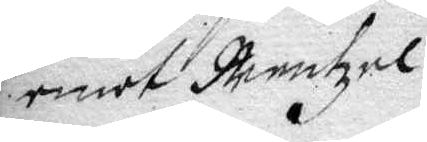emot Mentzel.
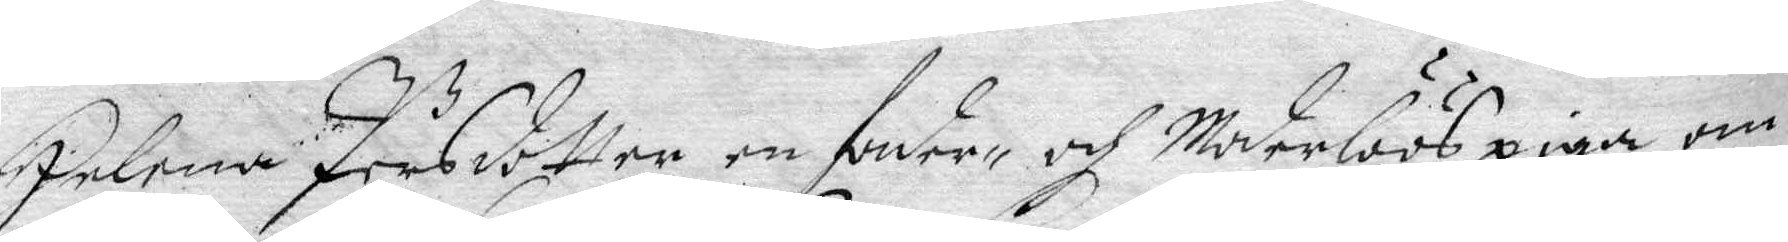Helena Pärsdotter en fader- och Moderlöös piga om
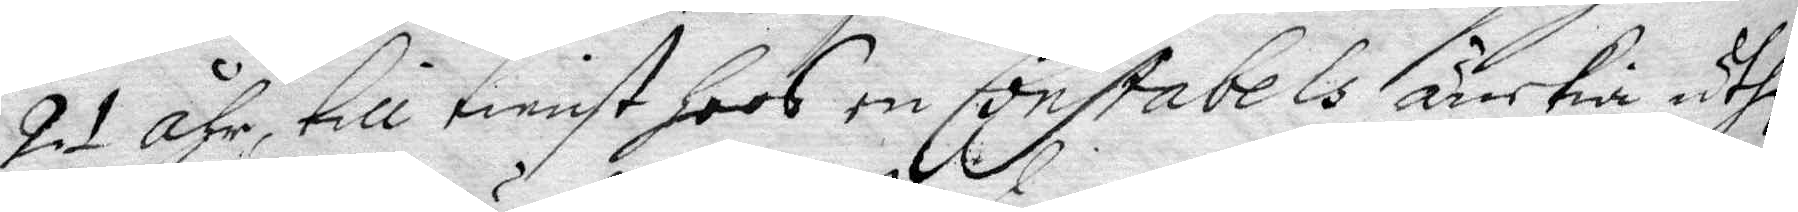21 åhr, till tienst hoos en Constabels änkia uthi
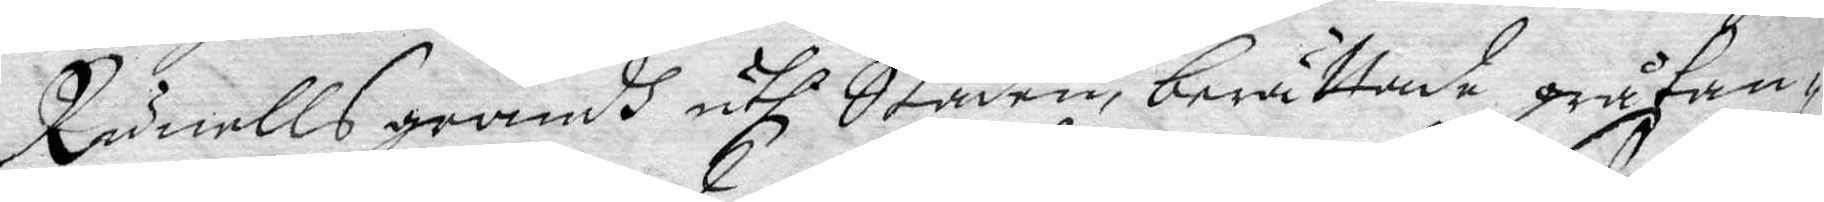Runells grändh uthi Staden, berättande gråtan¬
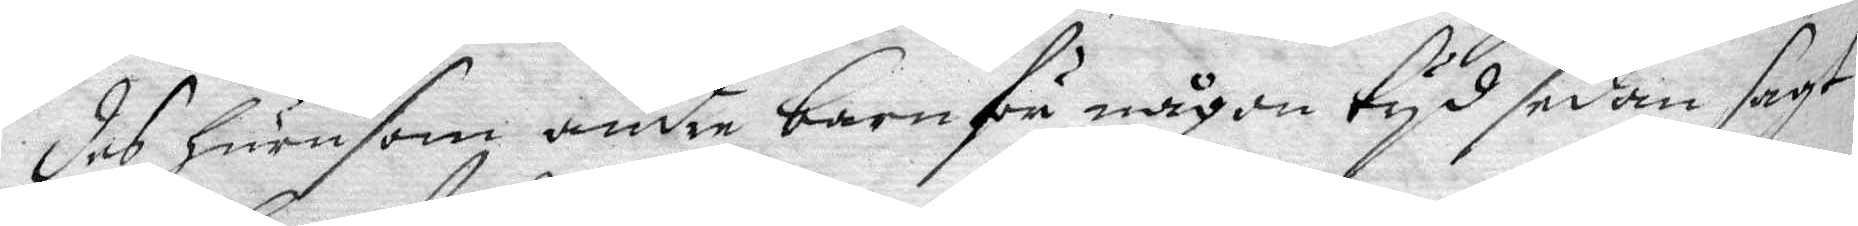des hurusom andre barn för någon tyd sedan sagt
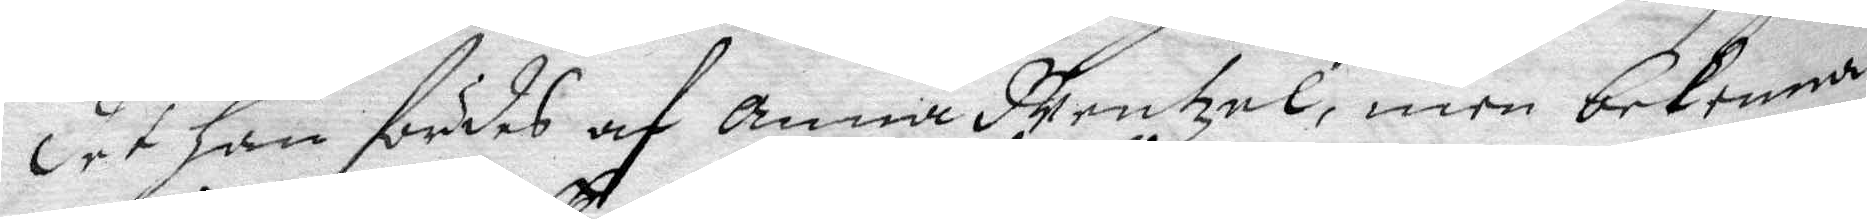det han fördes af Anna Nentzel, men bekenna
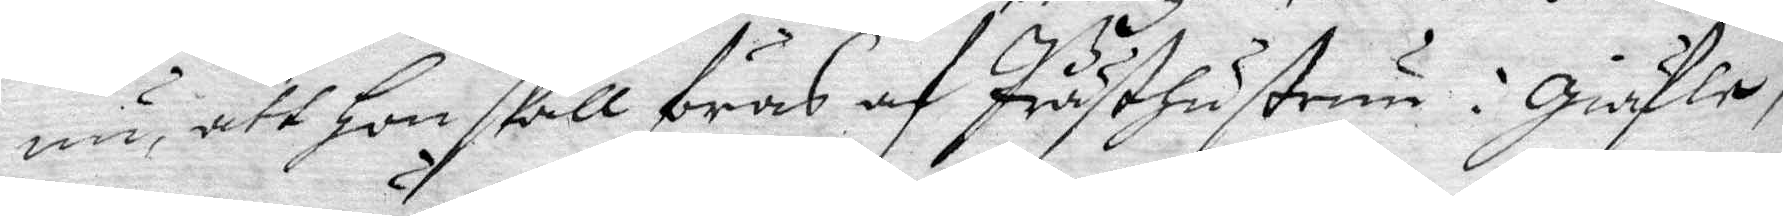nu, att hon skall föras af Prästhustrun i Giäfle,
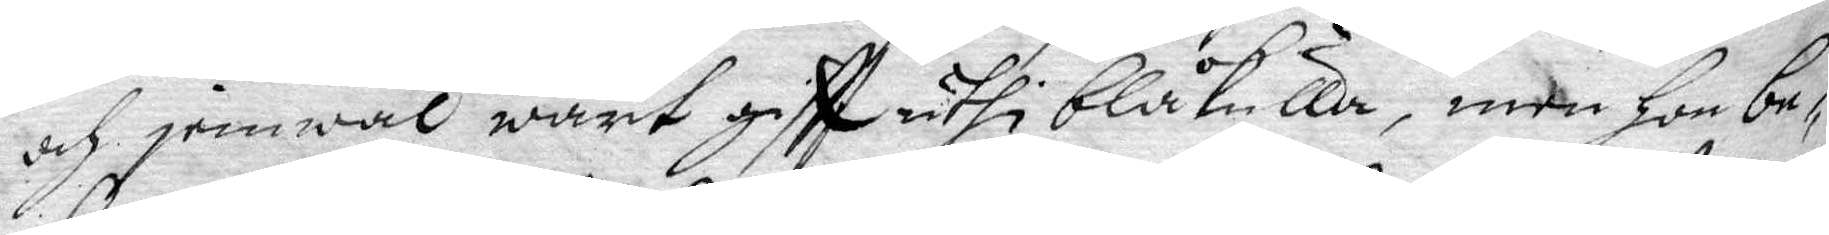och jemwäl warit giftt uthi blåkulla, men hon be¬
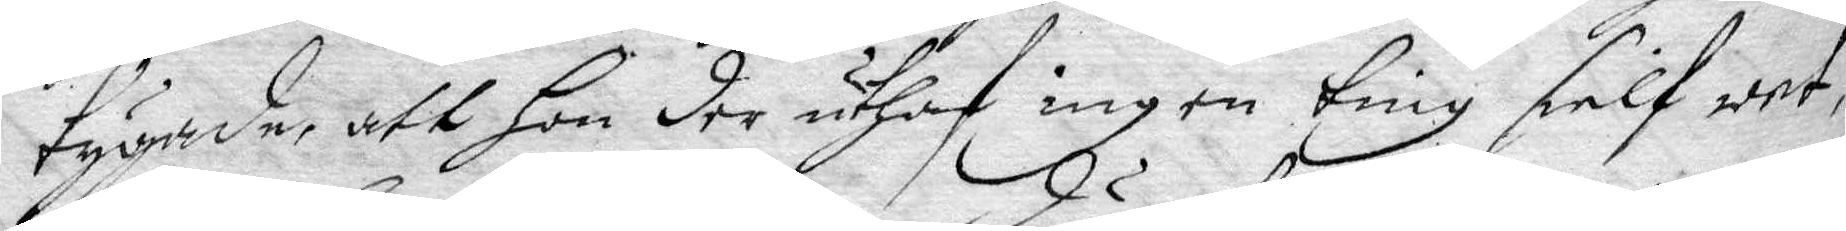tygade, att hon der utgaf ingen ting sielf wet,
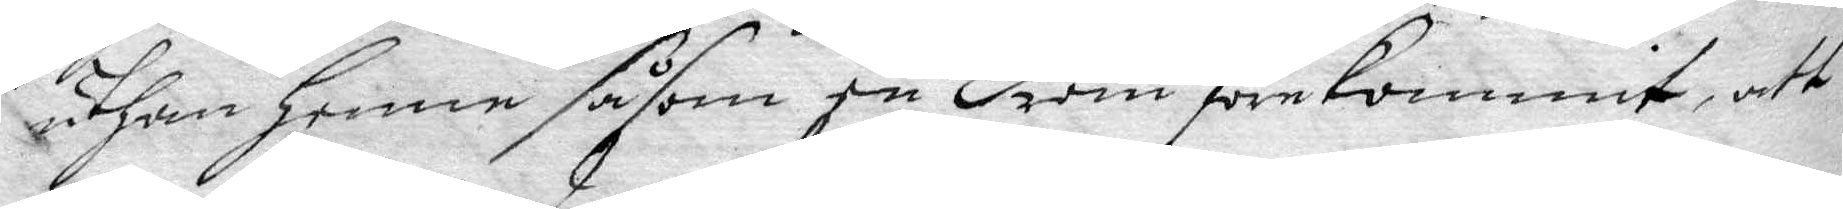uthan henne såsom en dröm förekommit, att
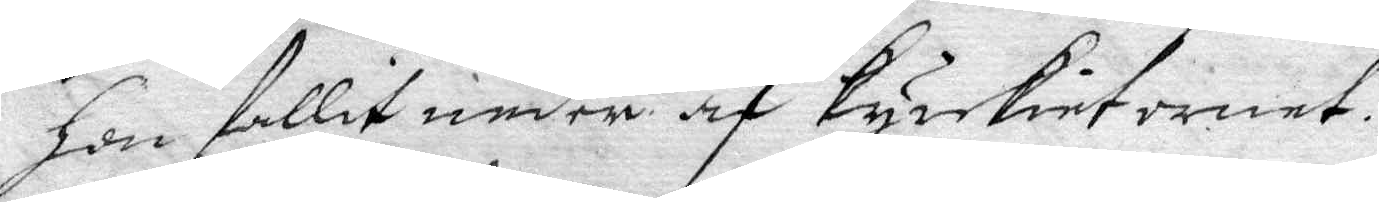hon fallit neder af kyrkietornet.
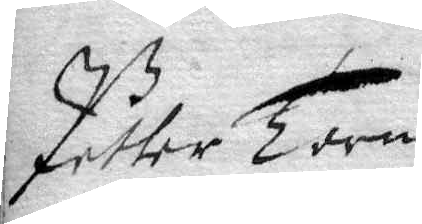Petter Torn
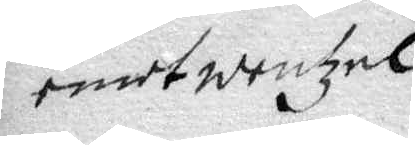emot wentzel.
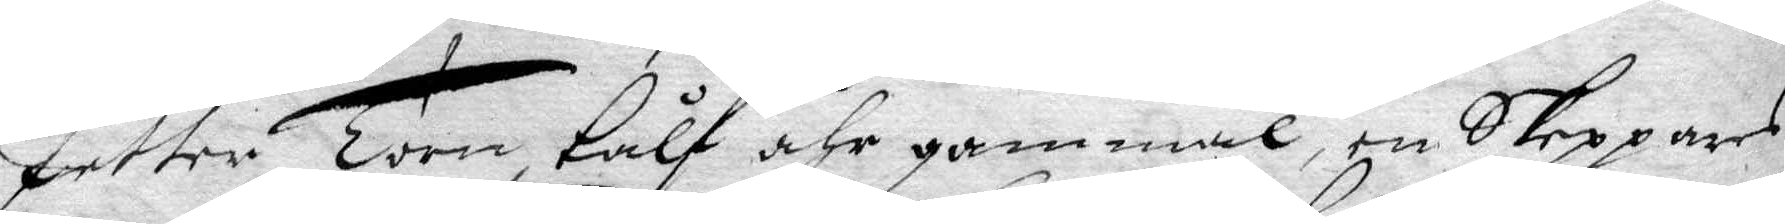Petter Torn tålf åhr gammal, en skeppares
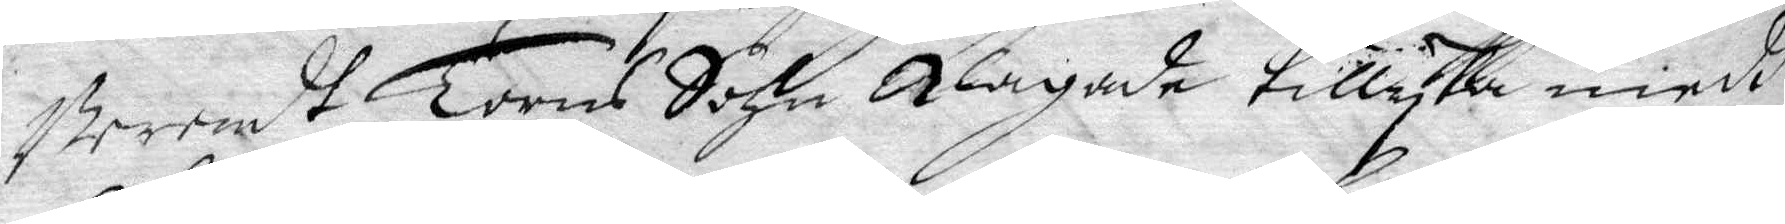Berendt Torns Sohn klagade tillyka medh
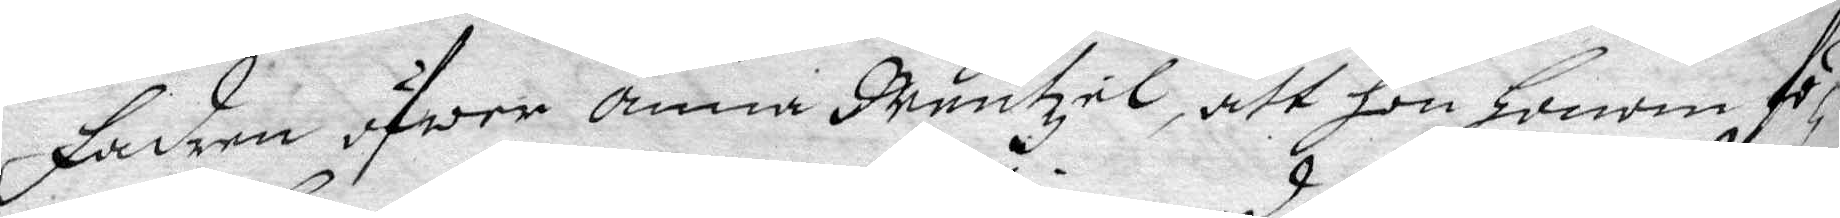fadren öfwer anna Mentzel, att hon honom fö¬
